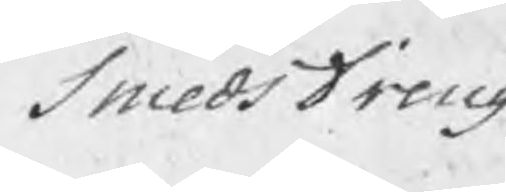SmedsDreng
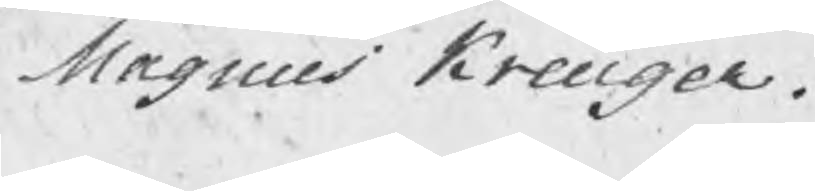Magnus Kreuger.
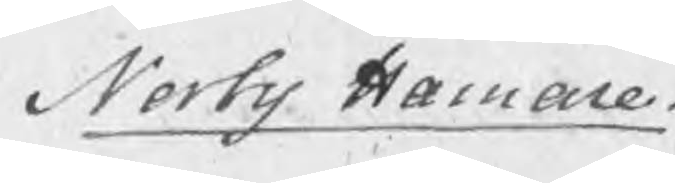Norby Hamare.
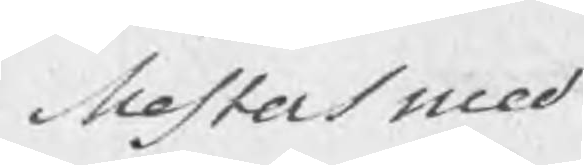Mestersmed
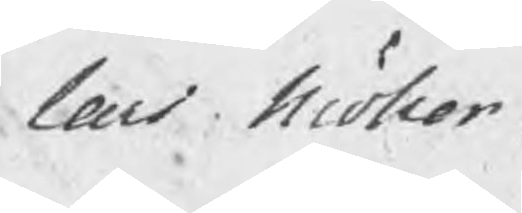Lars Möller
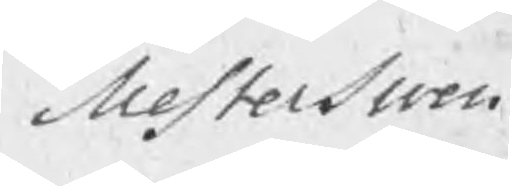Mesterswen
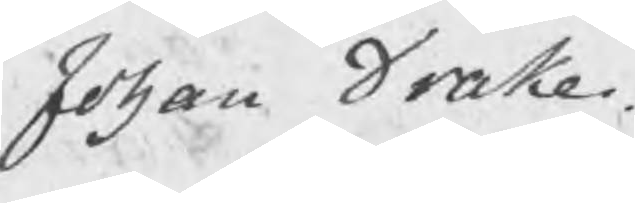Johan Drake.
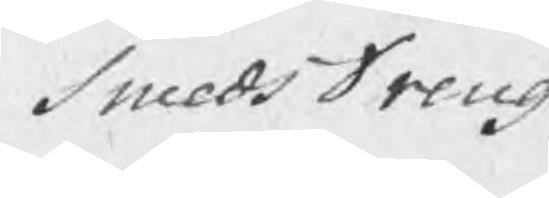SmedsDreng
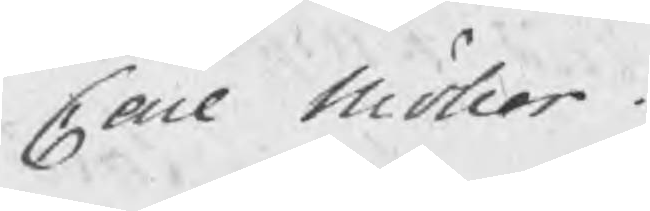Carl Möller
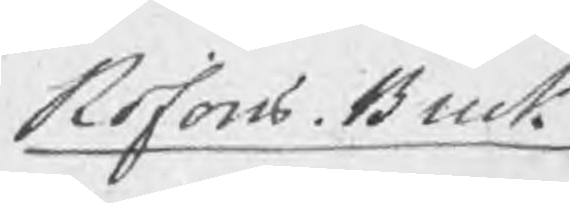Rofors Bruk
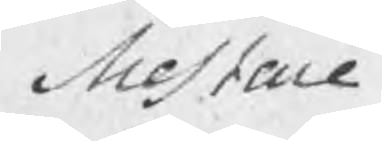Mestare
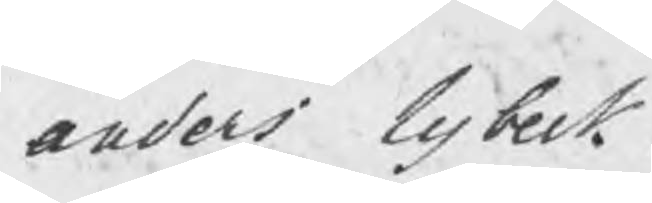Anders Lybeck.
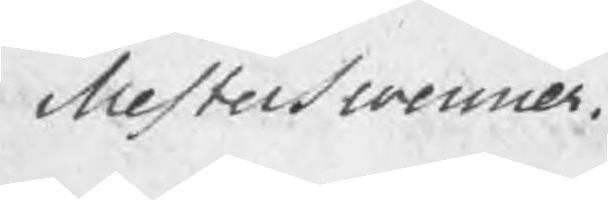Mesterswenner
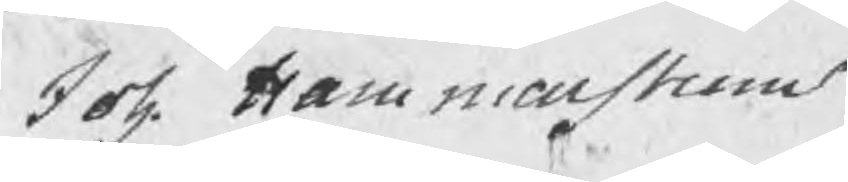Joh. Hammarstrom
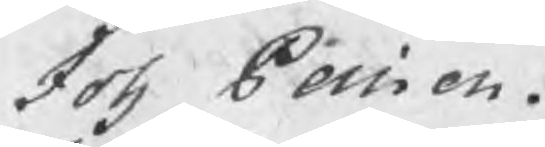Joh Persson.
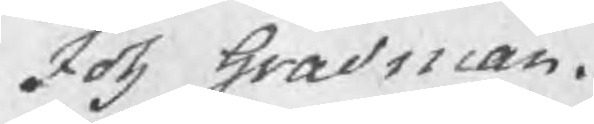Joh Gradman.
